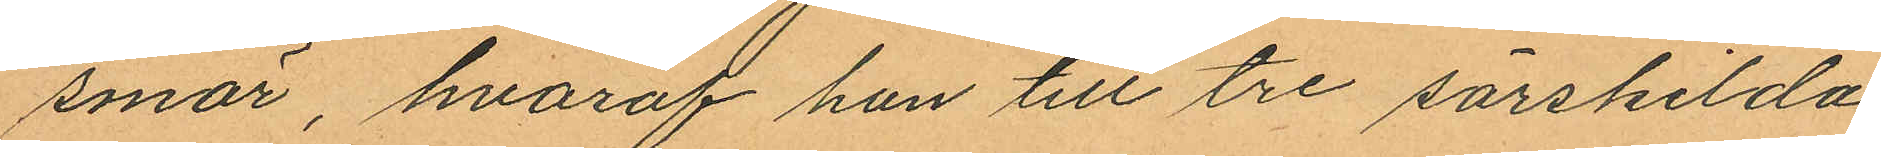smör, hvaraf han till tre särskilda
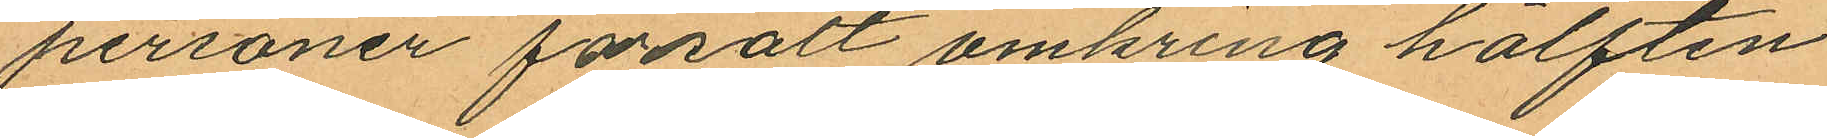personer försålt omkring hälften
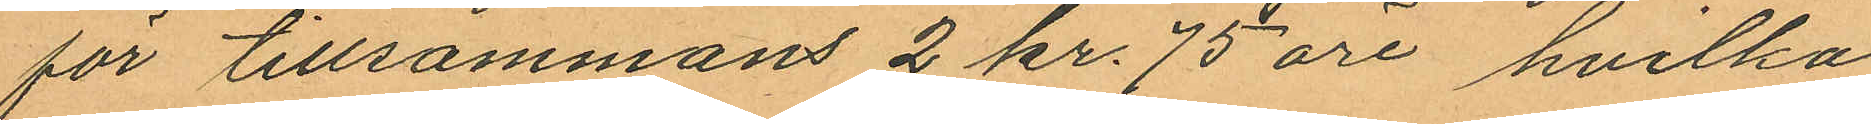för tillsammans 2 kr. 75 öre hvilka
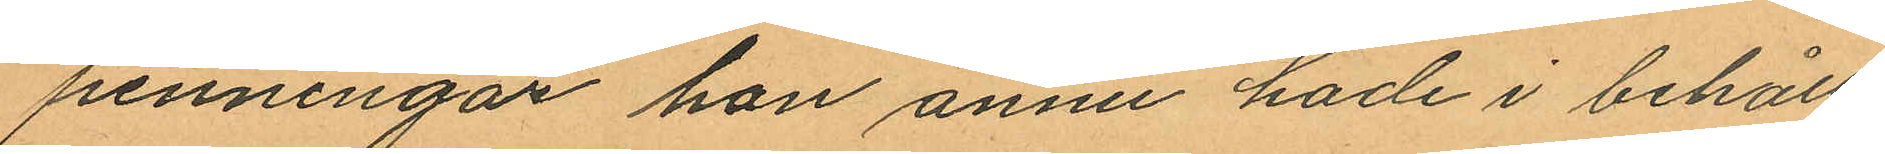penningar han ännu hade i behåll;
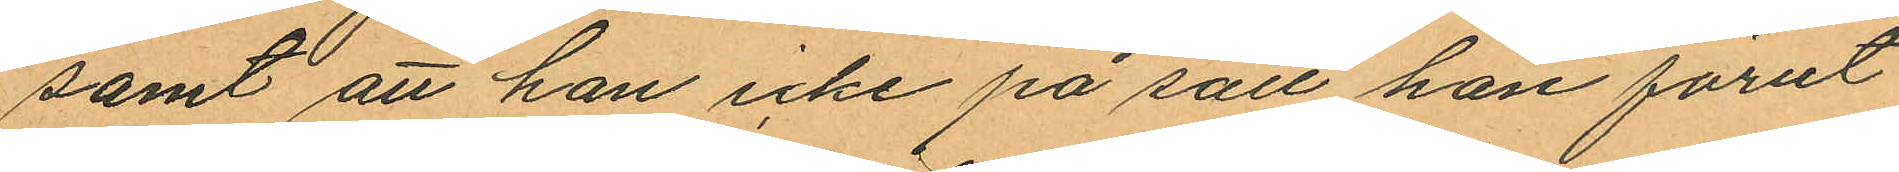samt att han icke på sätt han förut
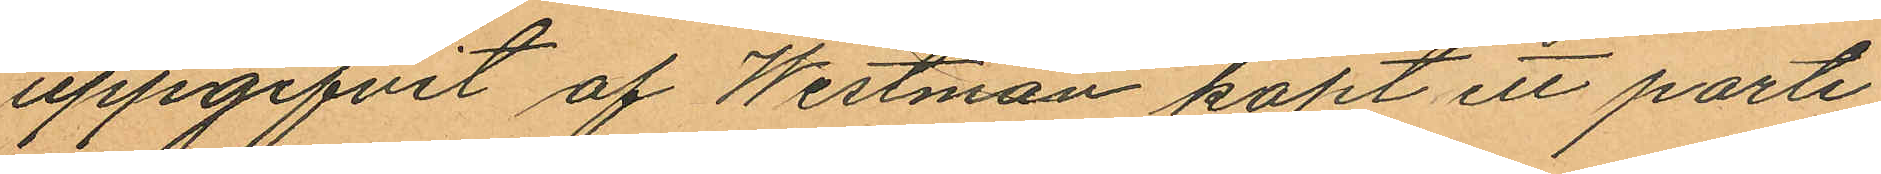uppgifvit af Westman köpt ett parti
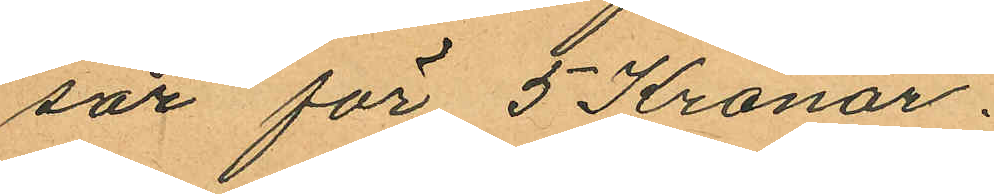sör för 5 Kronor.
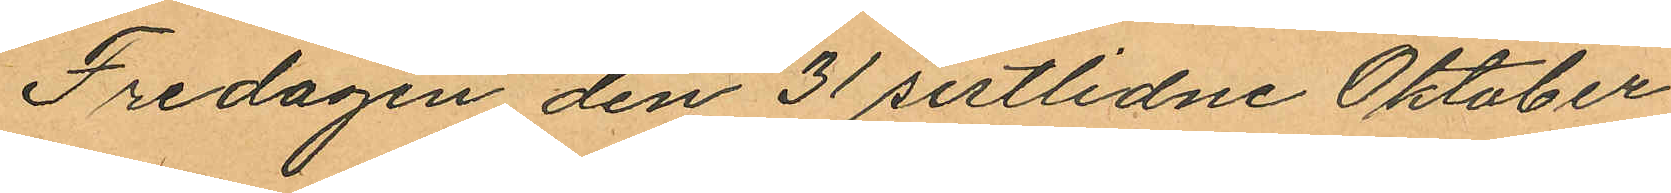Fredagen den 31 sistlidne Oktober
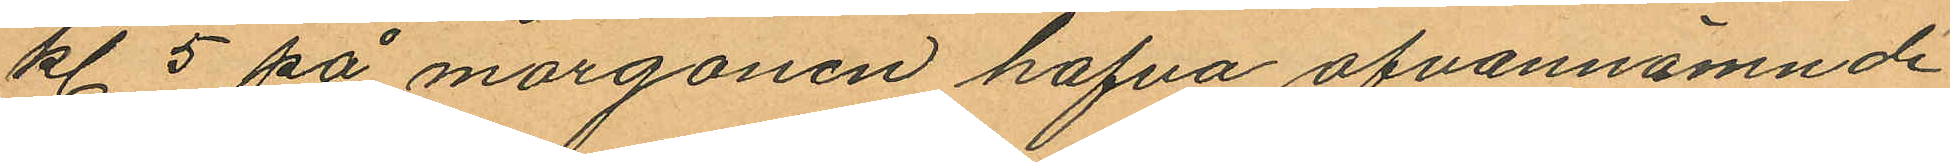kl. 5 på morgonen hafva ofvannämnde
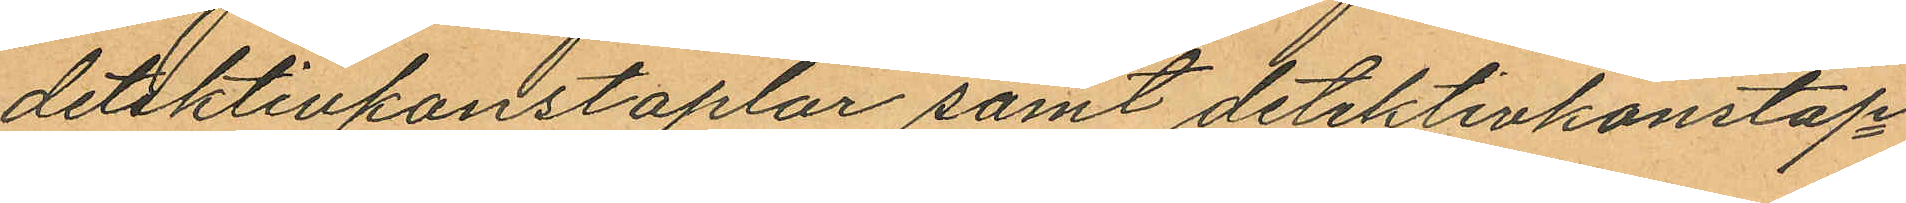detektivkonstaplar samt detektivkonstap¬
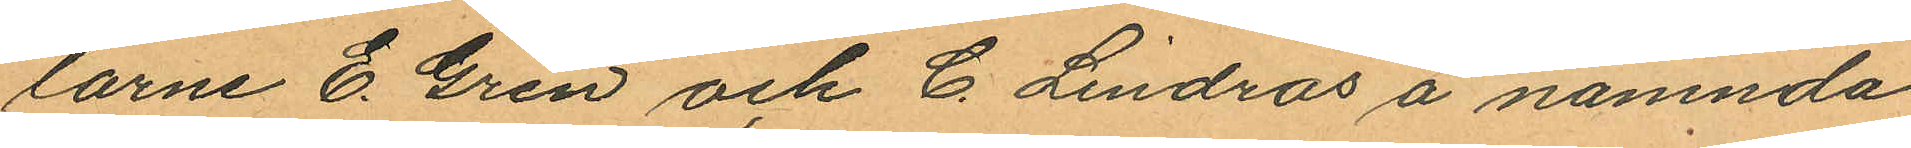larne E. Gren och C. Lindros å nämnda
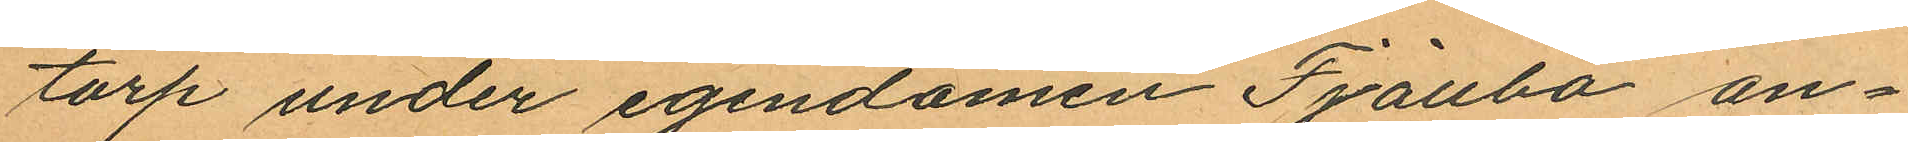torp under egendomen Fjällbo an¬
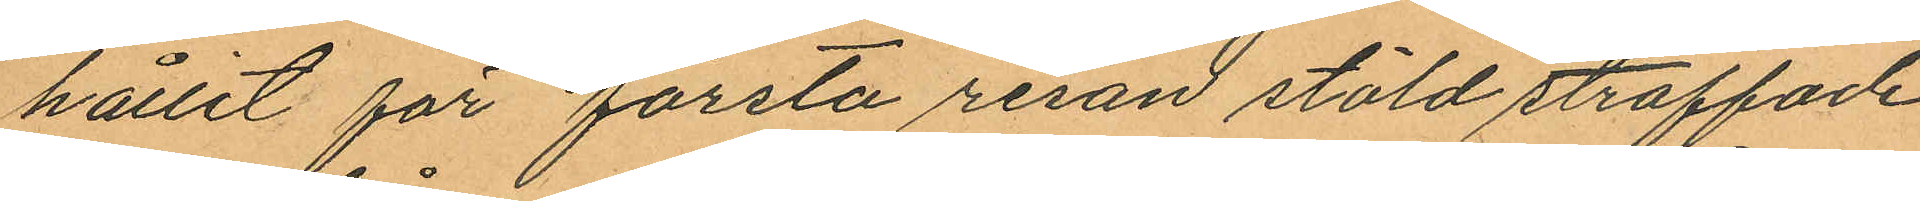hållit för första resan stöld straffade
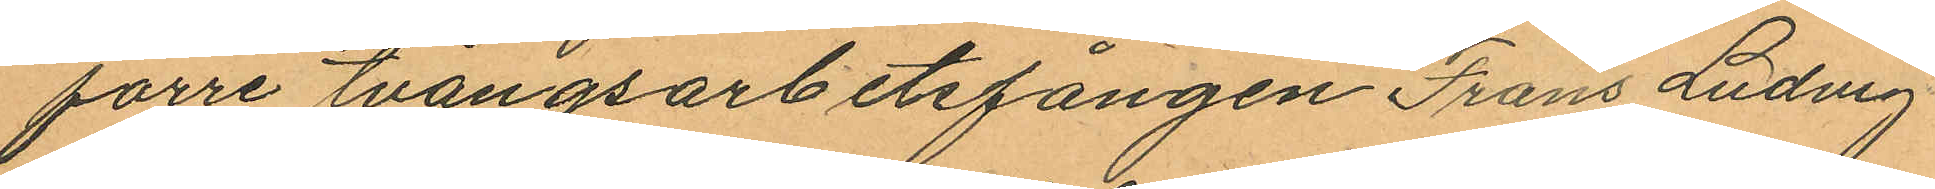förre tvångsarbetsfången Frans Ludvig
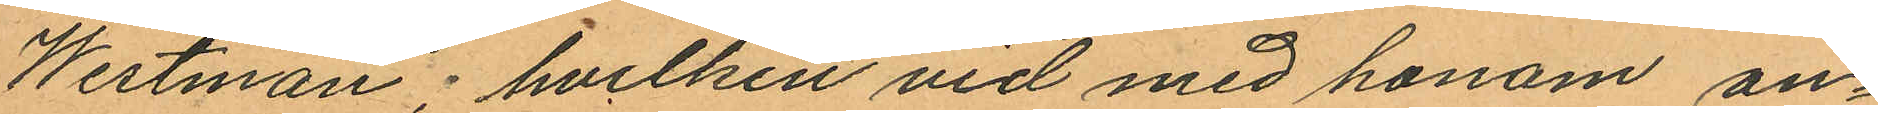Westman; hvilken vid med honom an¬
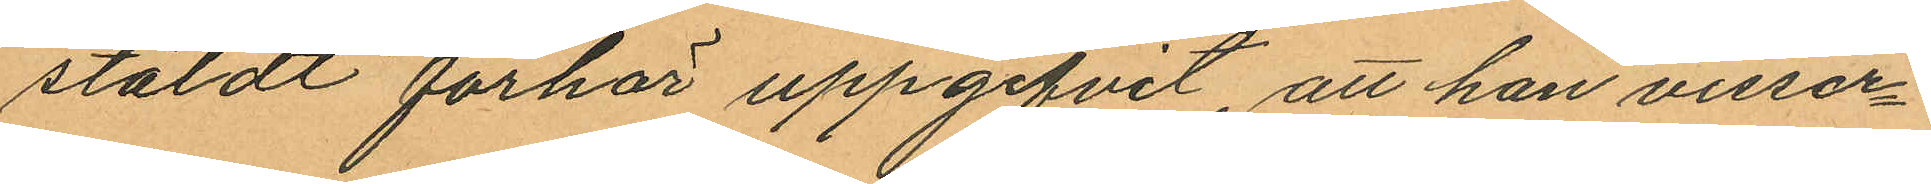stäldt förhör uppgifvit, att han visser¬
